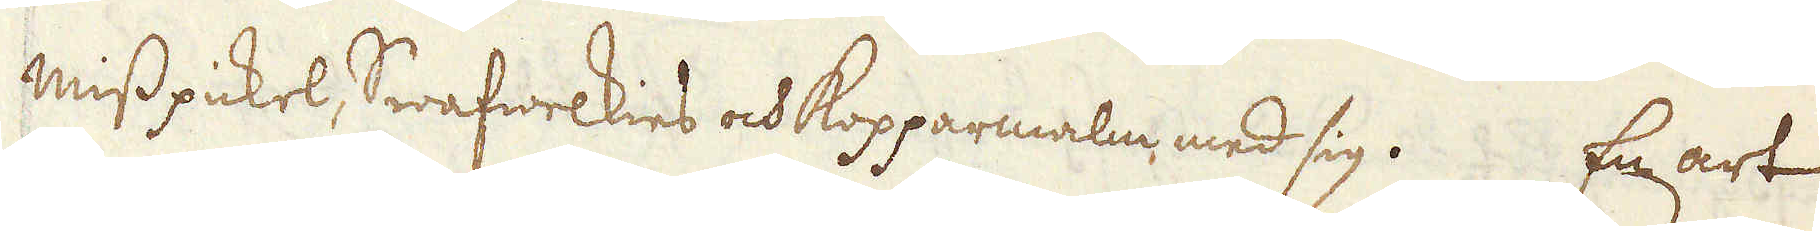misspickel, Swafwelkies och kopparmalm med sig. En art
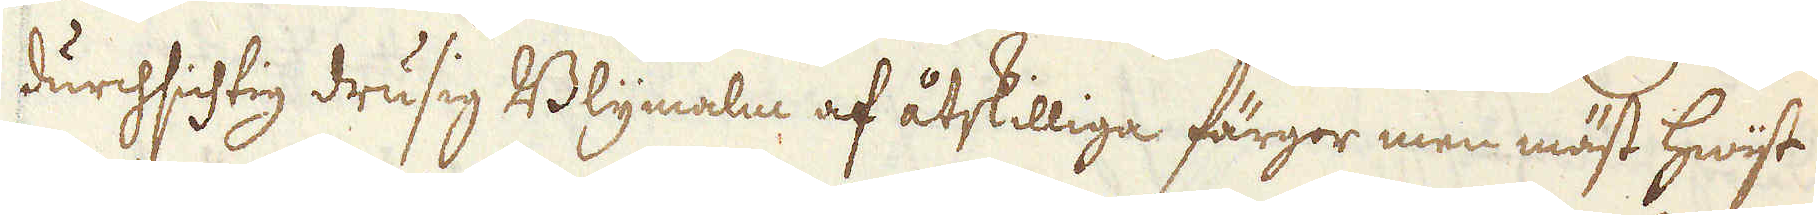durchsichtig drusig Blymalm af åtskilliga färgor men mäst hwijst
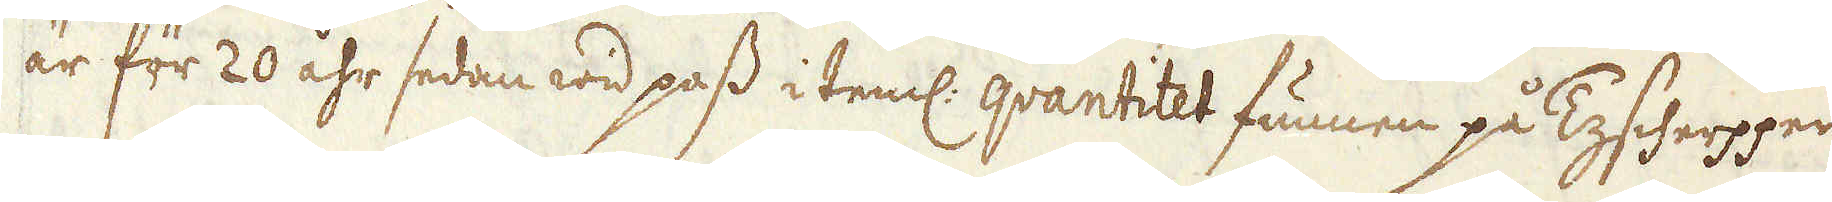är för 20 åhr sedan wid pass i teml: qvantitet funnen på Tyscherpper
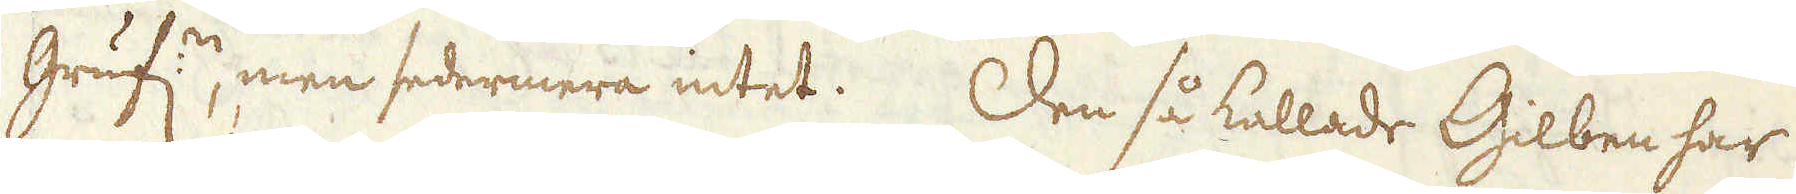Gruf:n, men sedermera intet. Den så kallade Gilben har
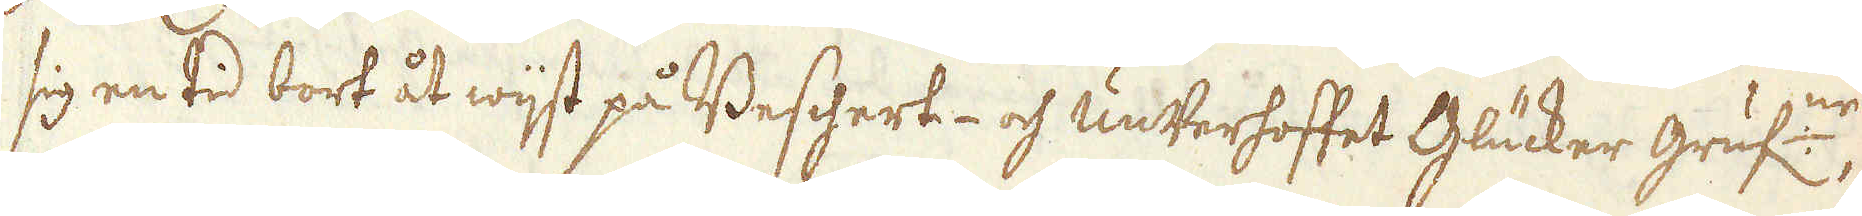sig en tid bort åt wijst på Beschert- och unterhoffet Glücker gruf:ne,
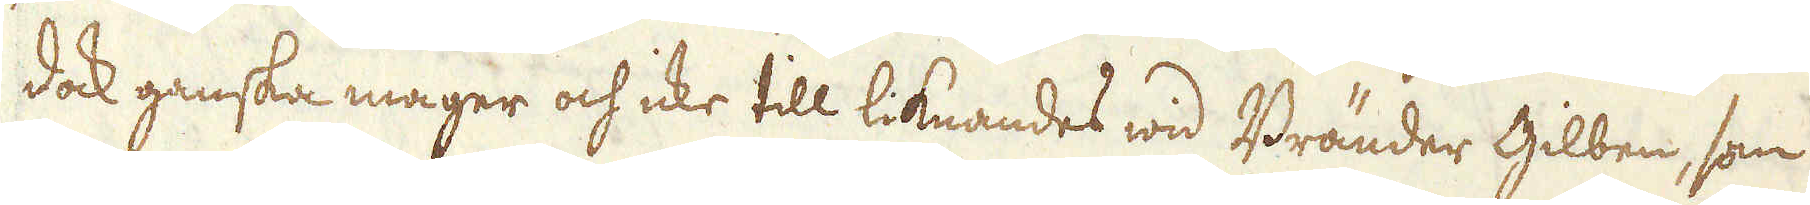dock ganska mager och icke till liknandes wid Bränder Gilben, som
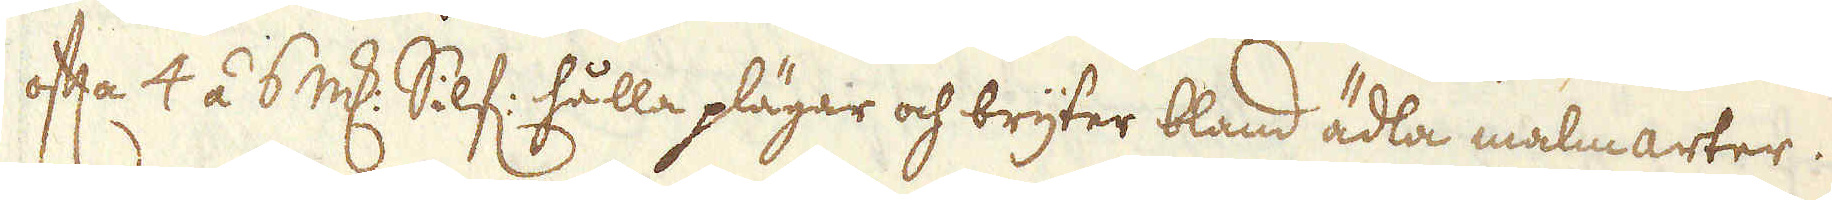ofta 4 á 6 marker Silf: hålla plägar och bryter bland ädla malmarter.
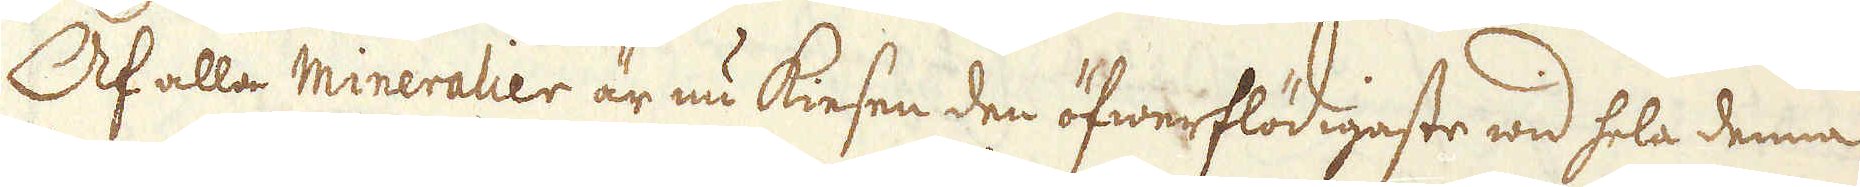Af alla mineralier är nu kiesen den öfwerflödigaste wid hela denna
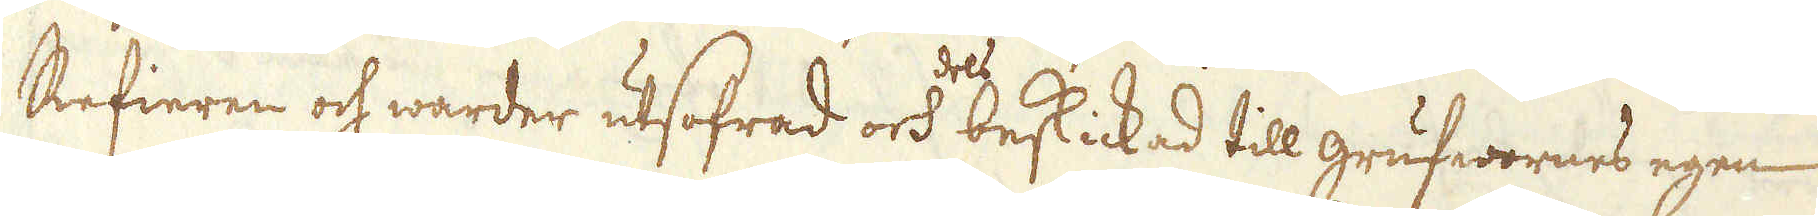Refieren och warder utsofrad och beskickad till grufwornes egen
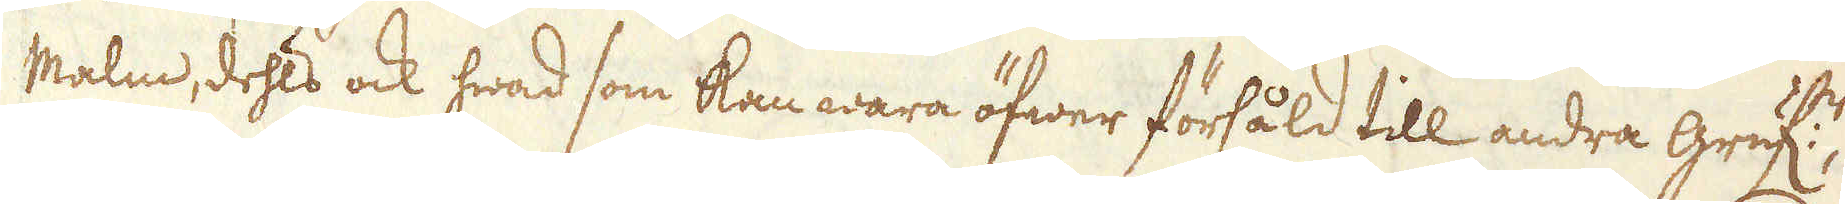Malm, dehls ock hwad som kan wara öfwer försåld till andra Gruf:r,
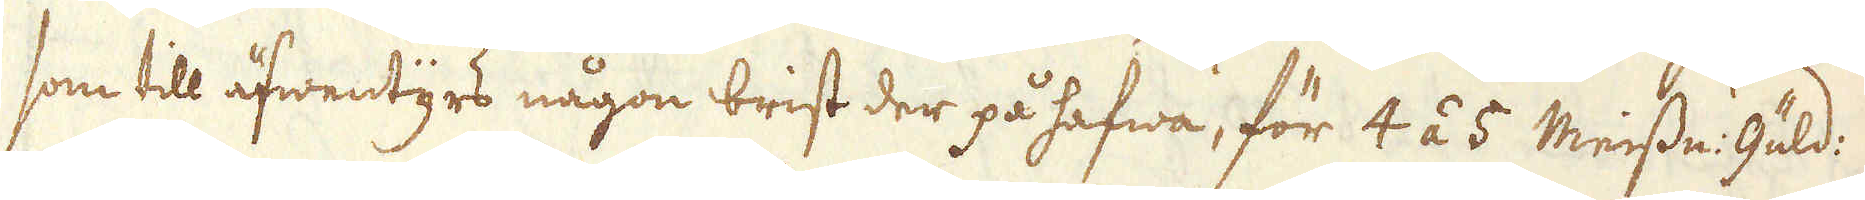som till äfwentyrs någon brist der på hafwa, för 4 á 5 Meissn: Guld:
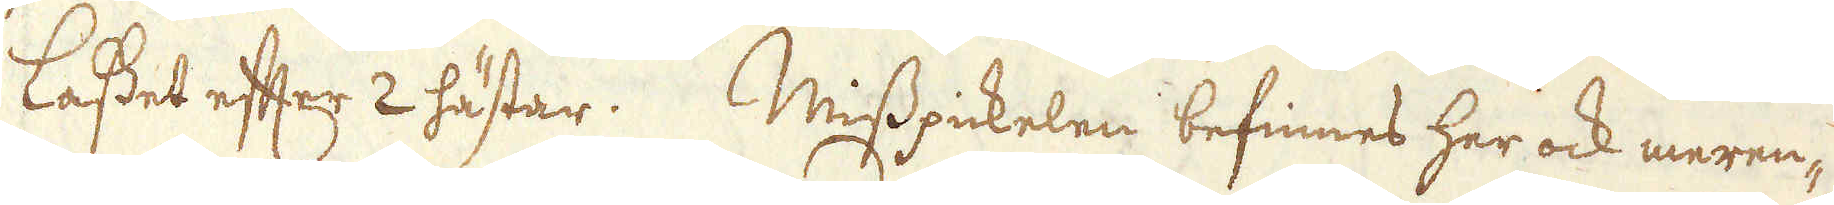lasset efter 2 hästar. Misspickelen befinnes her ock meren-
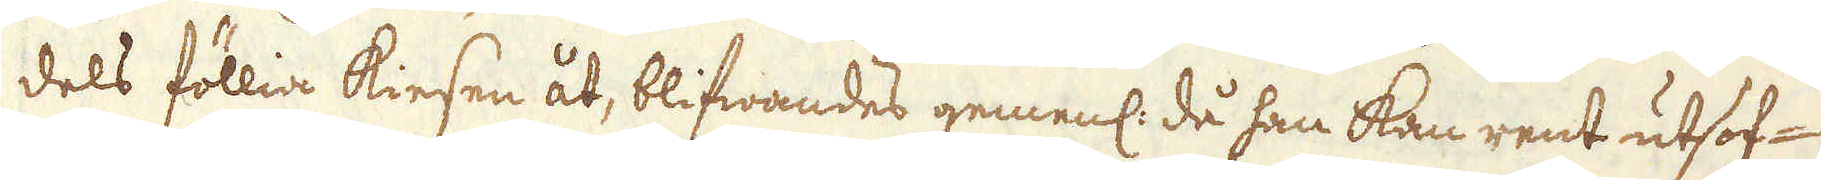dels föllia kiesen åt, blifwandes gemenl: då han kan rent utsof-
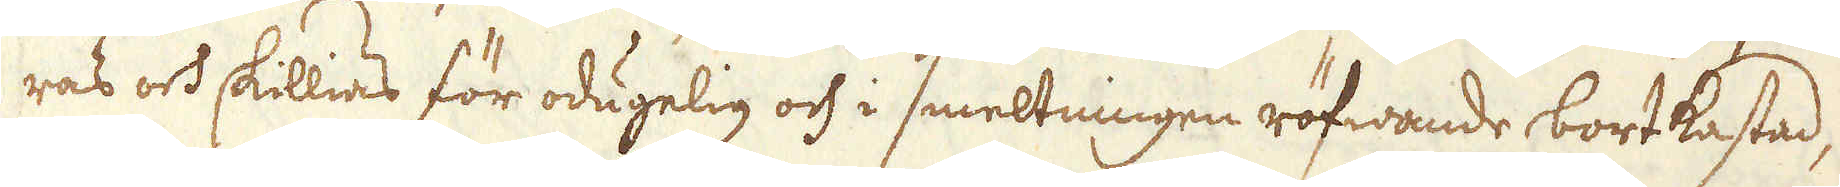ras och skillias för odugelig och i smeltningen röfwande bortkastad,
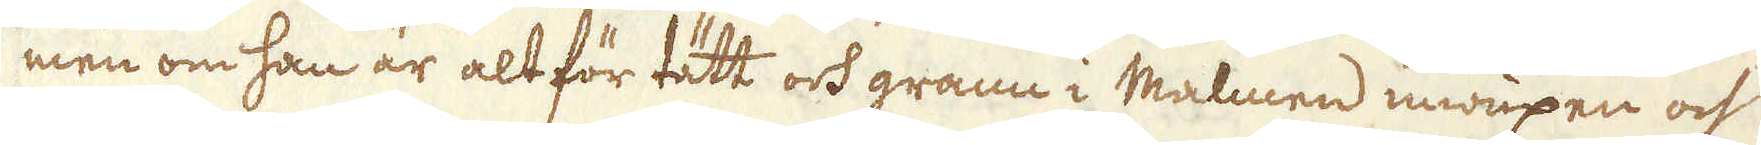men om han är alt för tätt och grann i Malmen inwuxen och
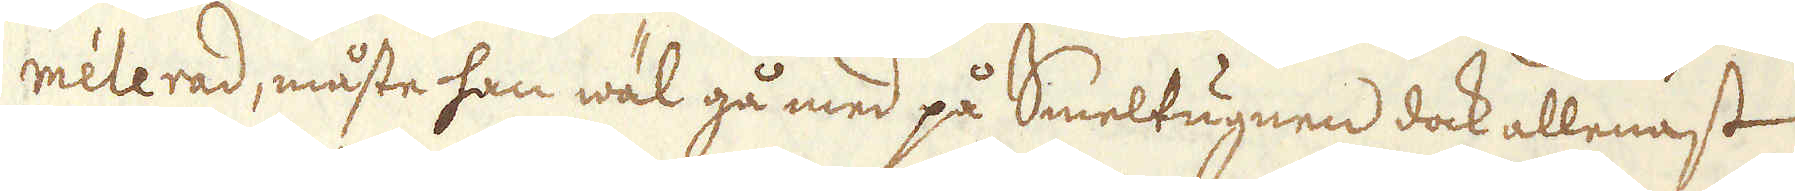melerad, måste han wäl gå med på Smeltugnen dock allenast
